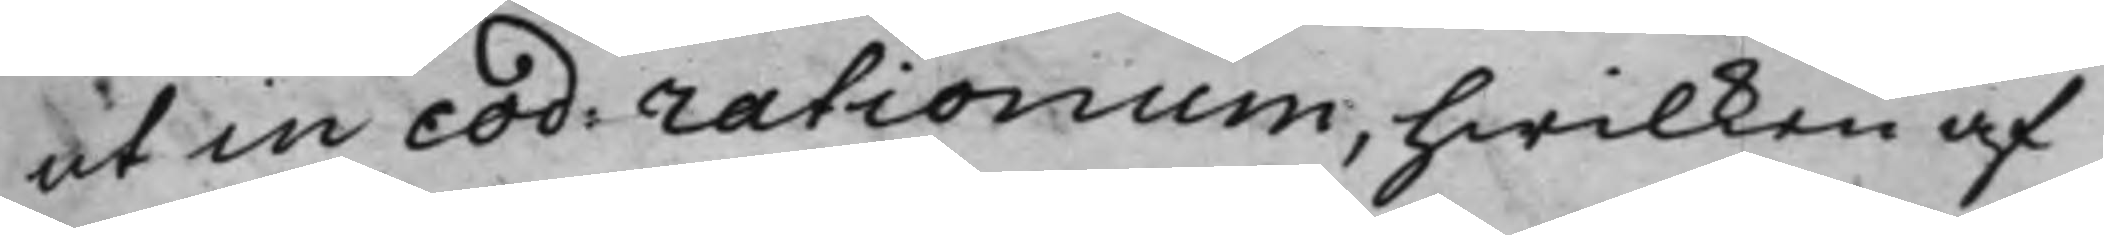ut in cod: rationum, hwilken af
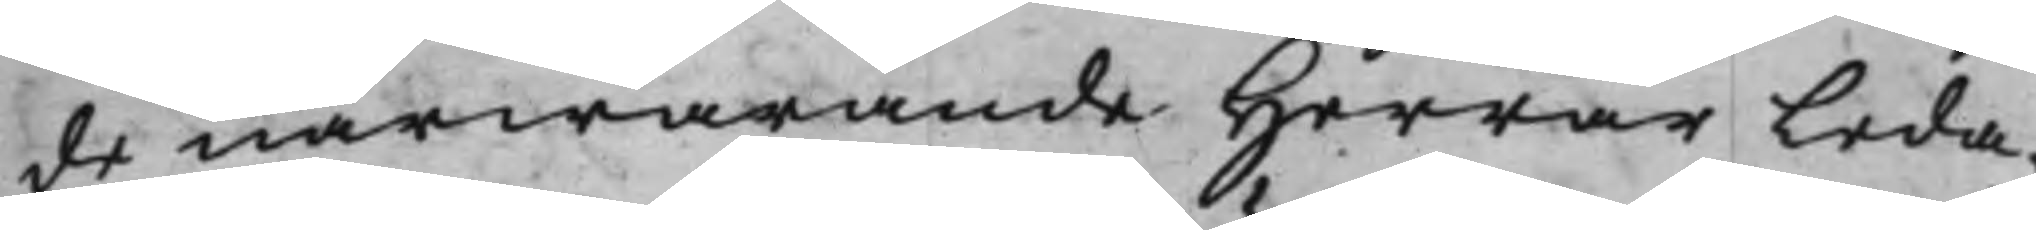de närwarande Herrar Leda¬
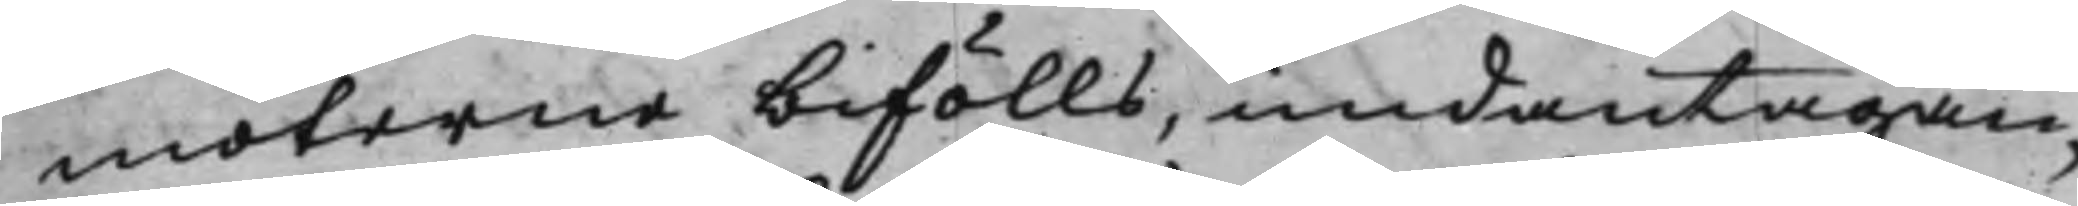möterne bifölls, undantagan¬
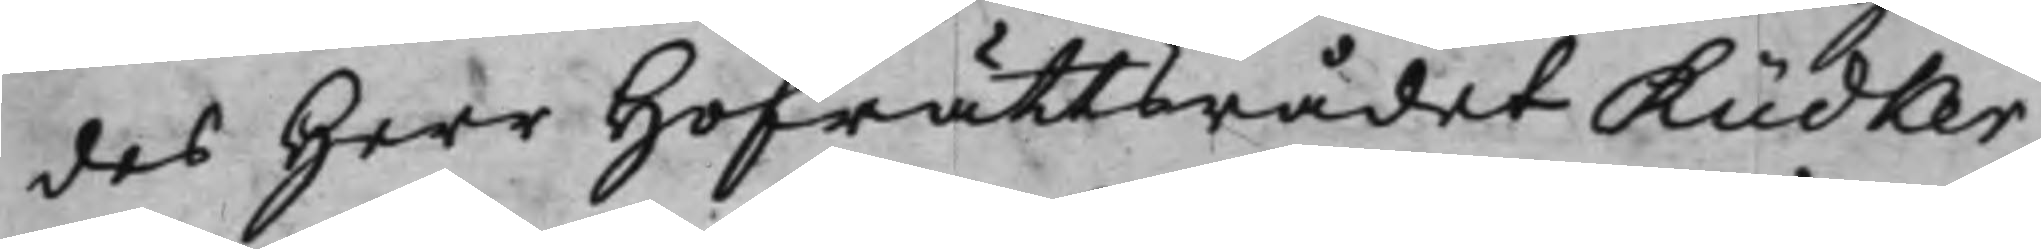des Herr Hofrättsrådet Rüdker,
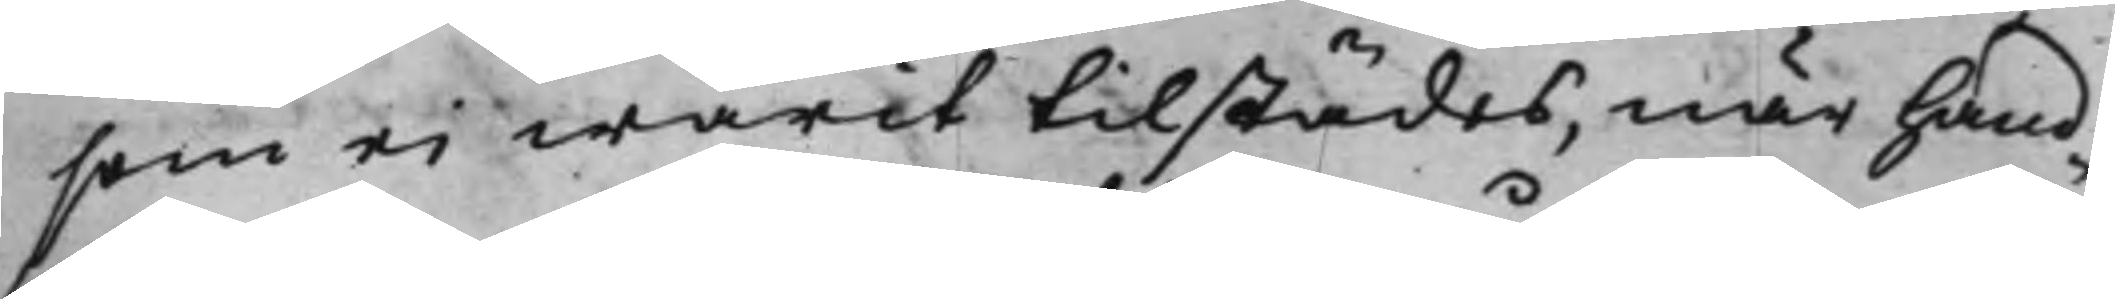som ei warit tilstädes, när hand¬
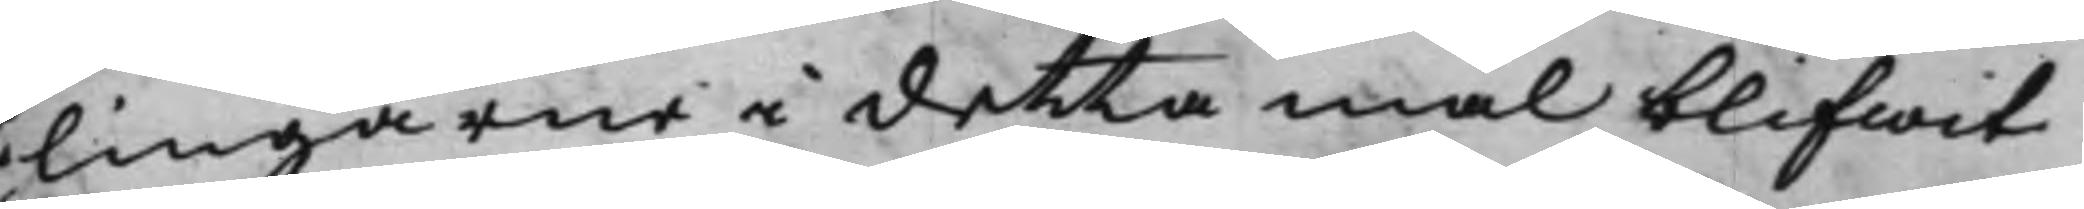lingarne i detta mål blifwit
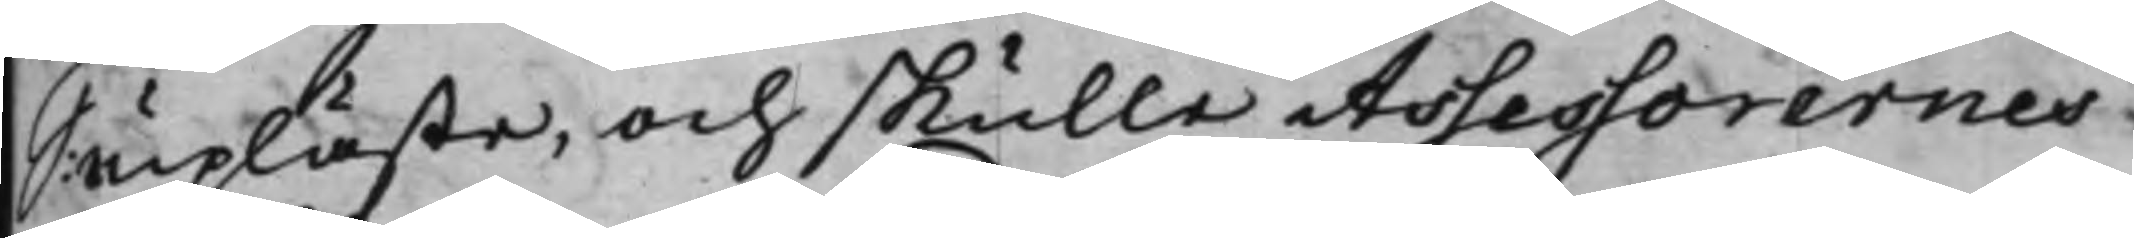upläste, och skulle Assessorernes
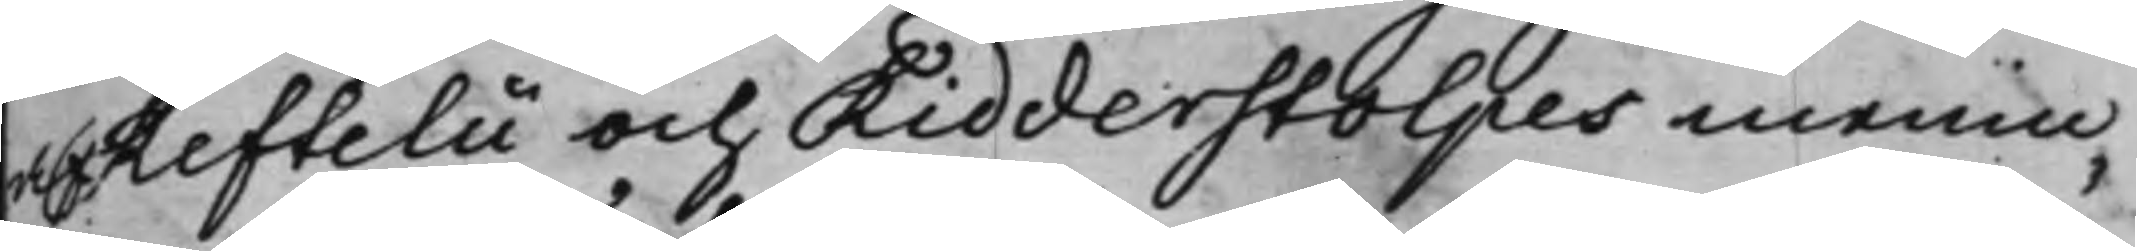Reftelii och Ridderstolpes menin¬
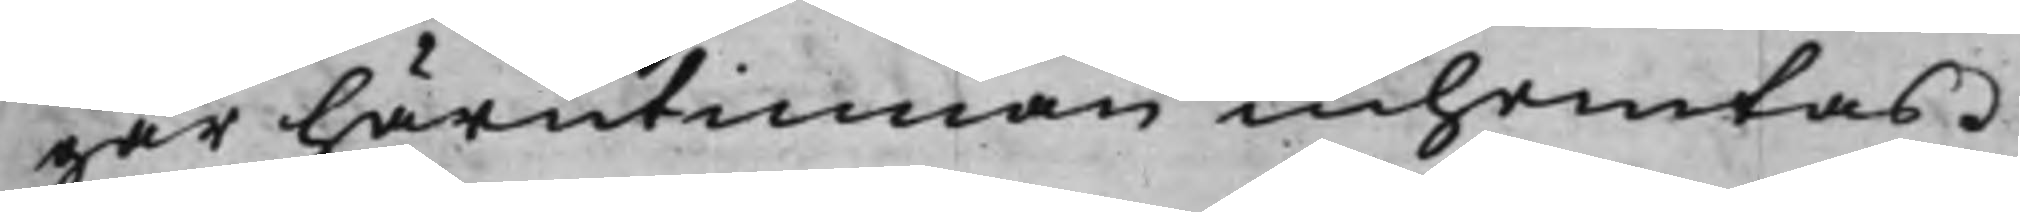gar härutinnan inhämtas.
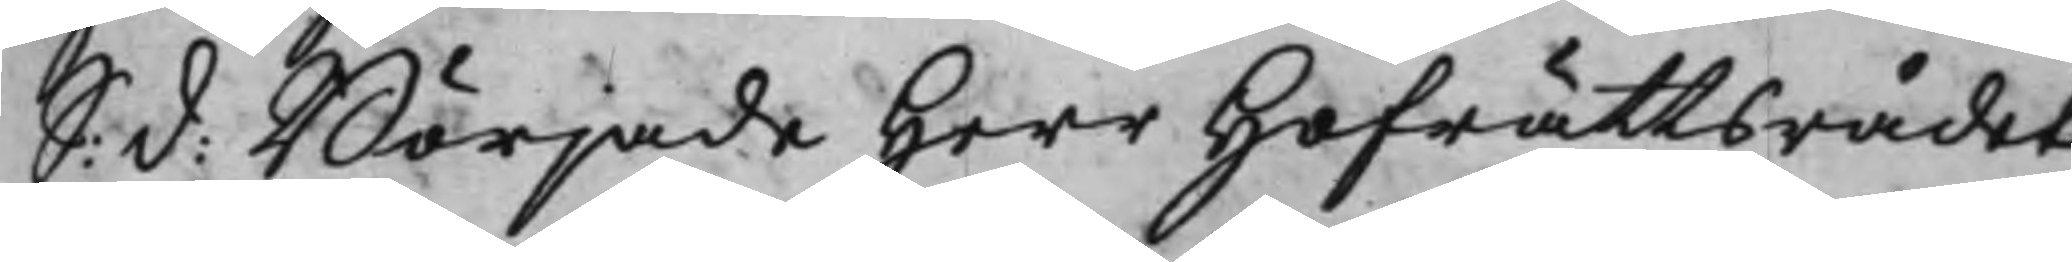S: d: Började Herr Hofrättsrådet
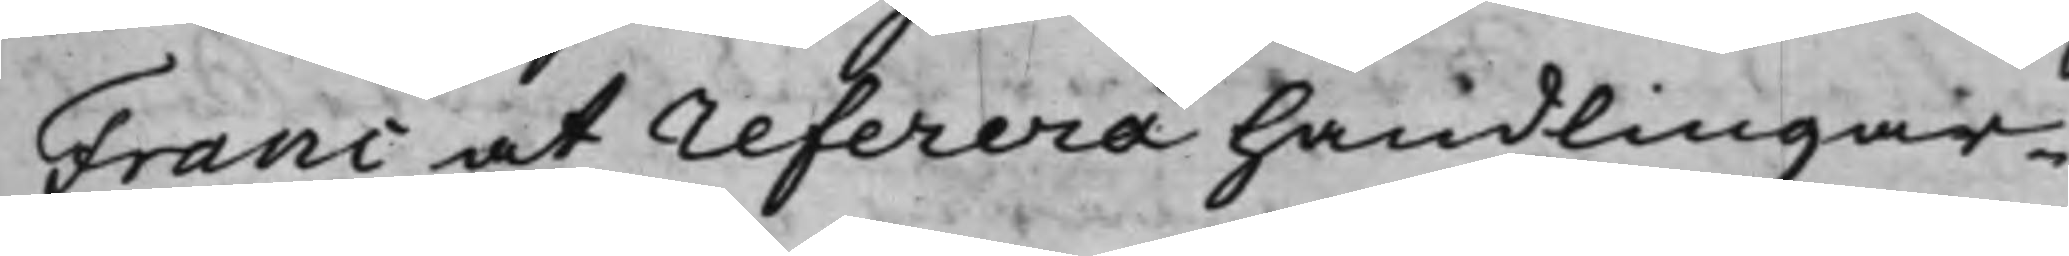Franc at referera handlingar¬
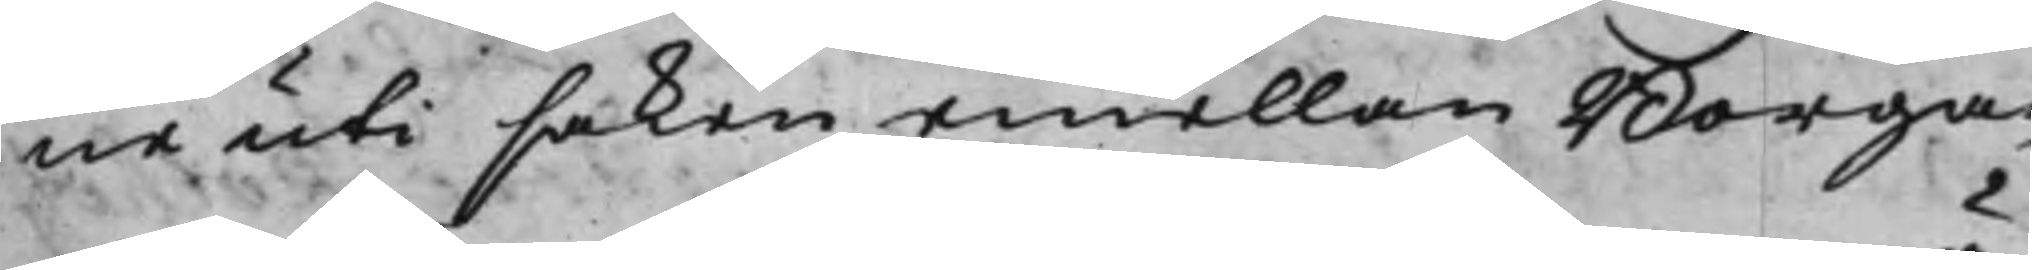ne uti saken emellan Borga¬
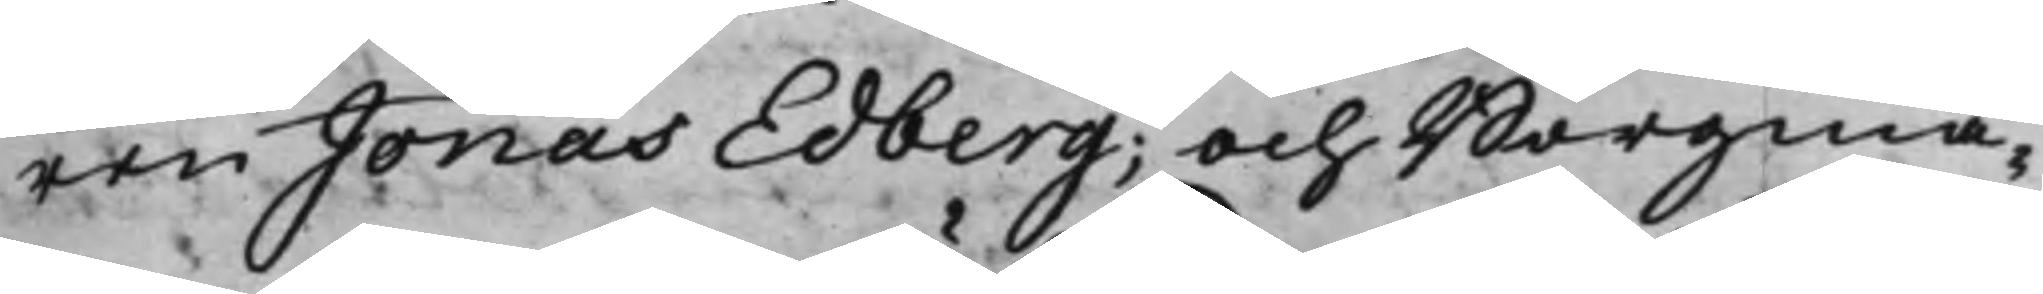ren Jonas Edberg; och Borgmä¬
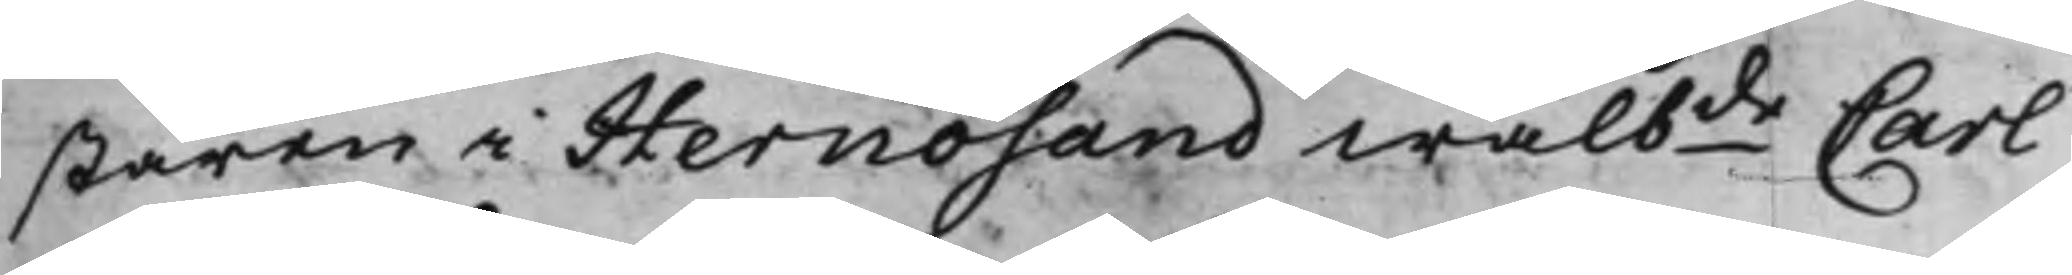staren i Hernösand wälbde Carl
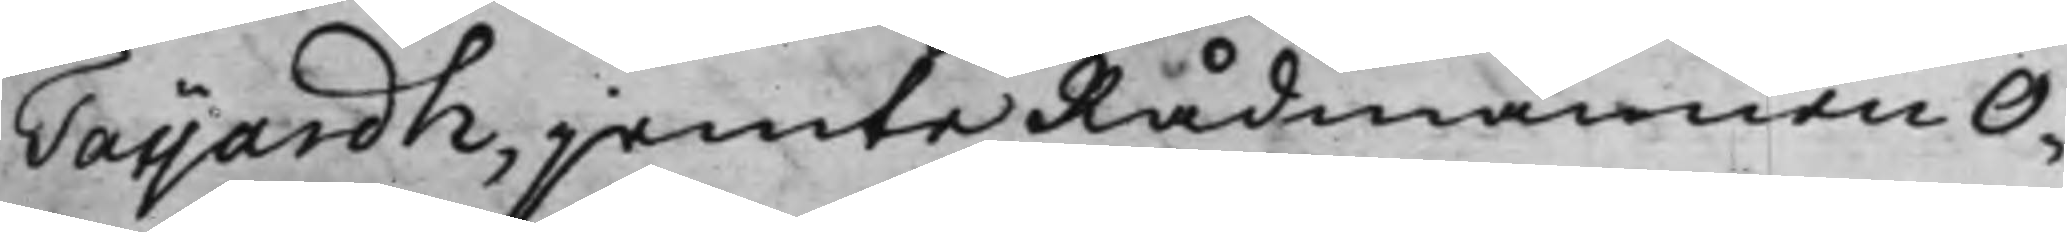Taijardh, jemte Rådmännen O¬
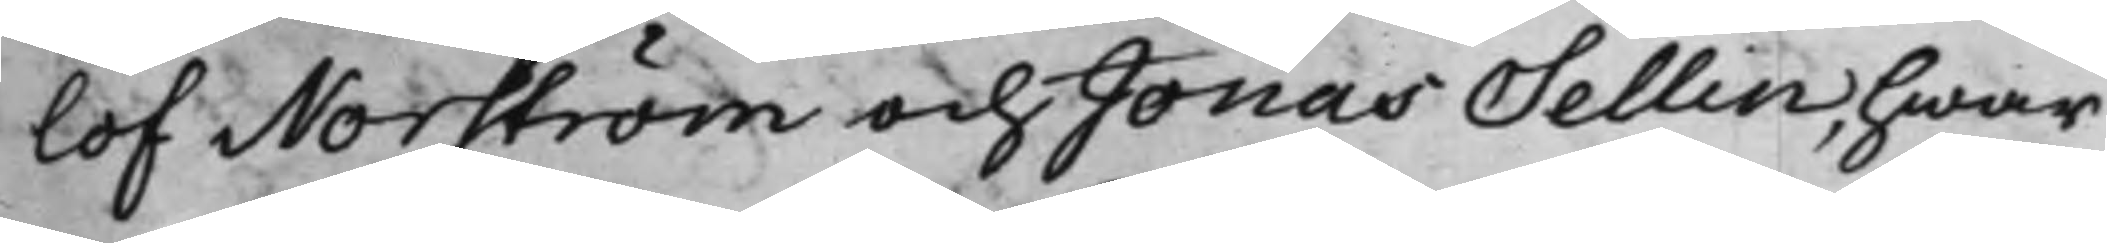lof Norström och Jonas Sellin, hwar
